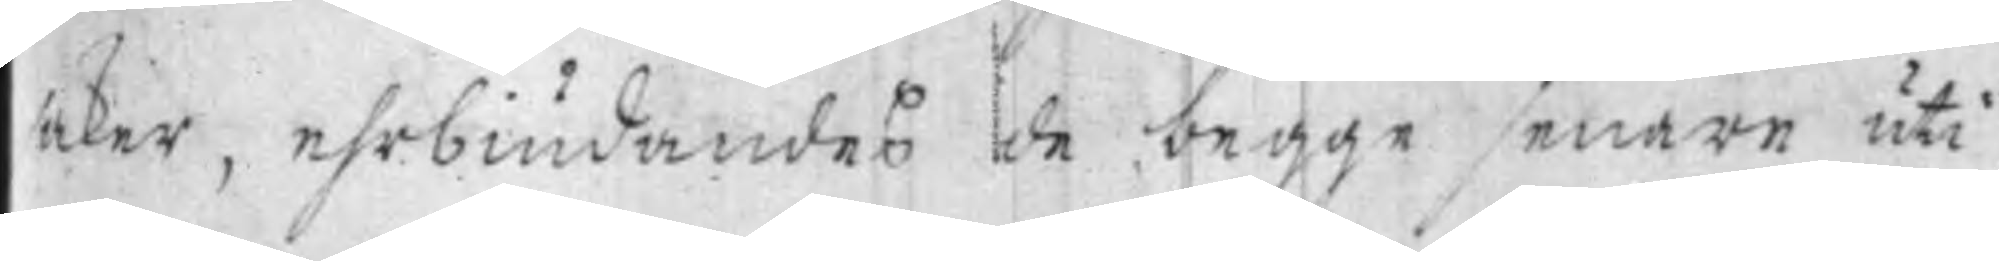saker, ehrbiudandes de begge senare uti
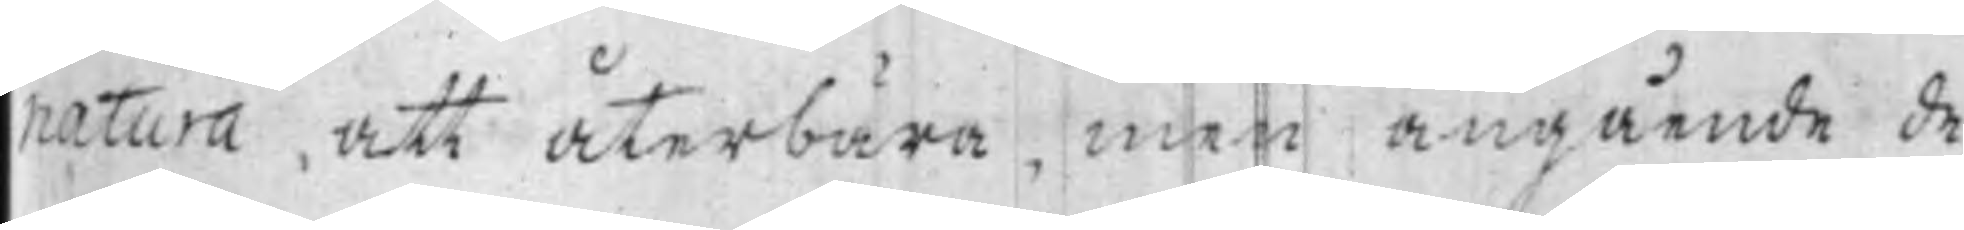natura, att återbära, men angående de
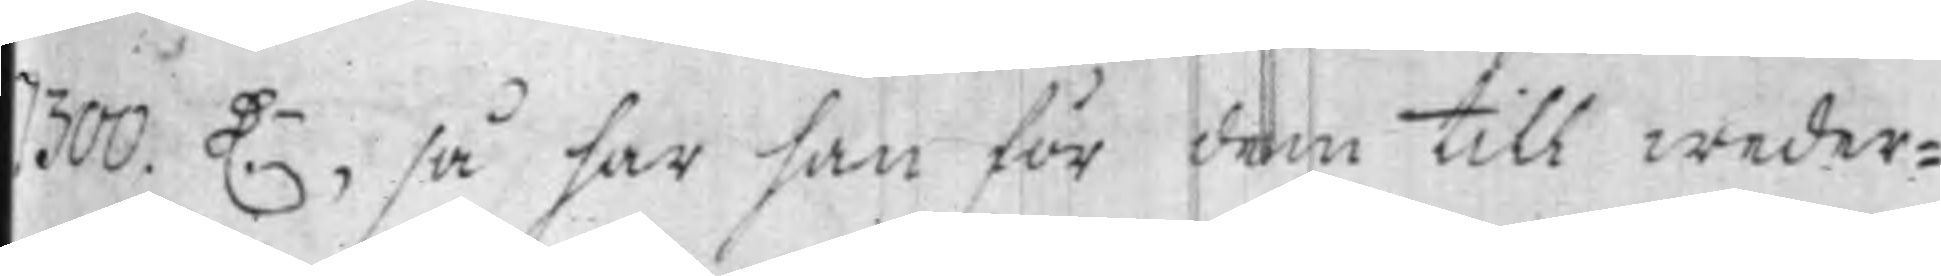1300. D.r, så har han för dem till weder¬
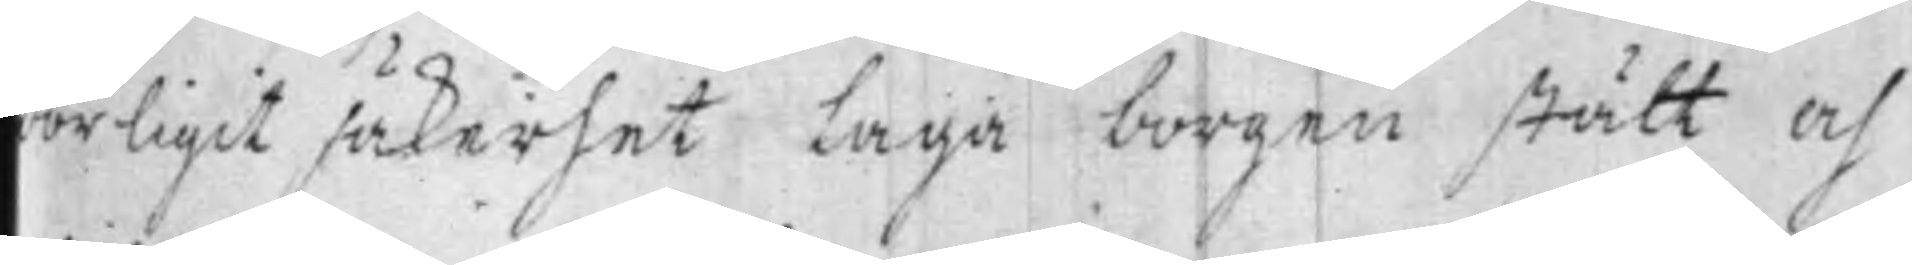börligit säkerhet Laga borgen stått af
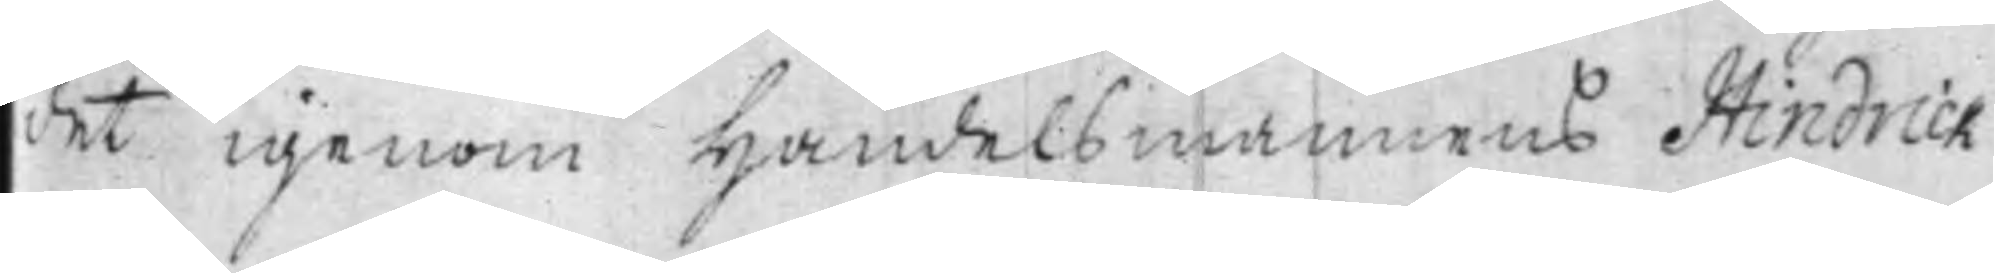det igenom Handelsmannens Hindrick
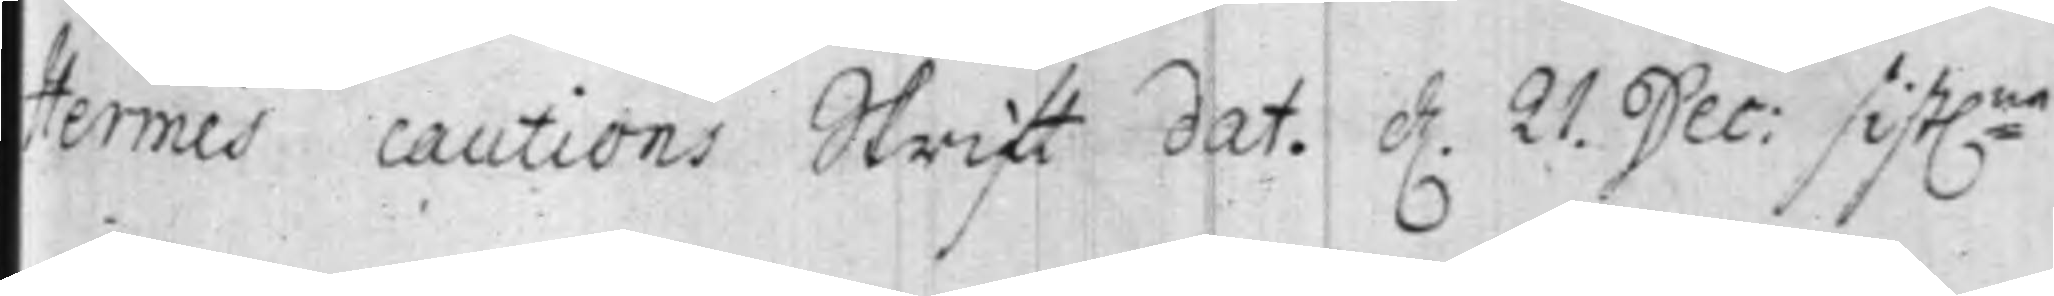Hermes cautions Skrift dat. d. 21. Dec: sist:ne
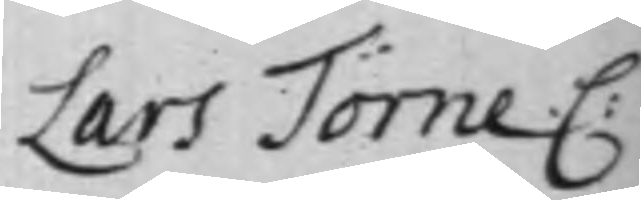Lars Törne C:
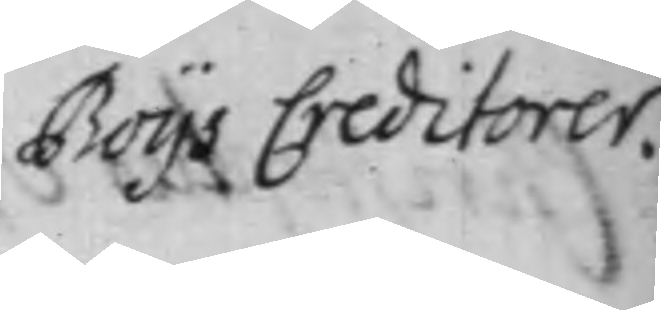Boys Creditorer.
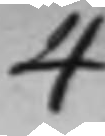4
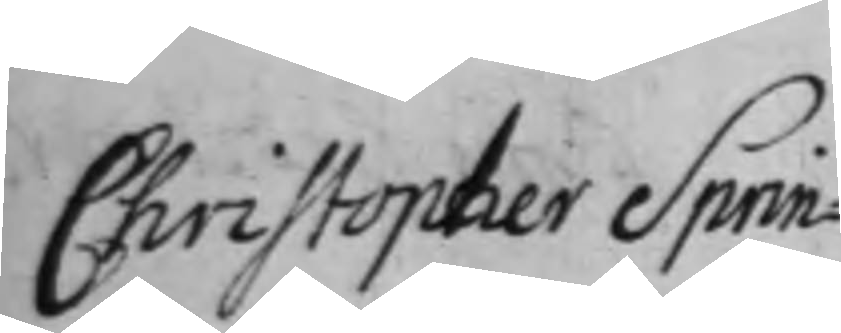Christopher Sprin¬
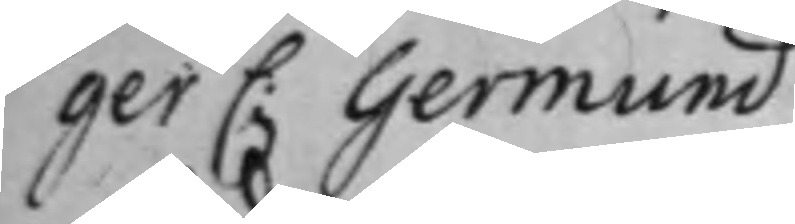ger C: Germund
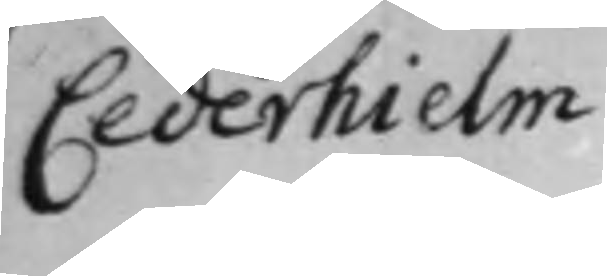Cederhielm
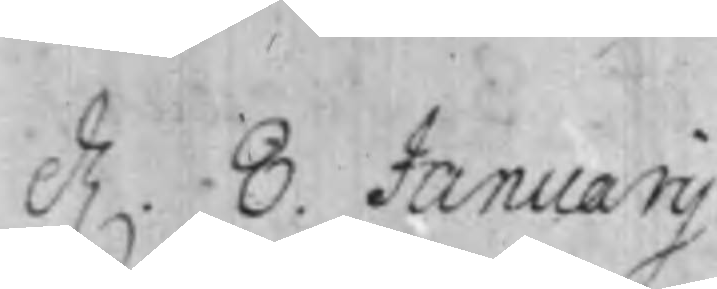d. 8. Januarij.
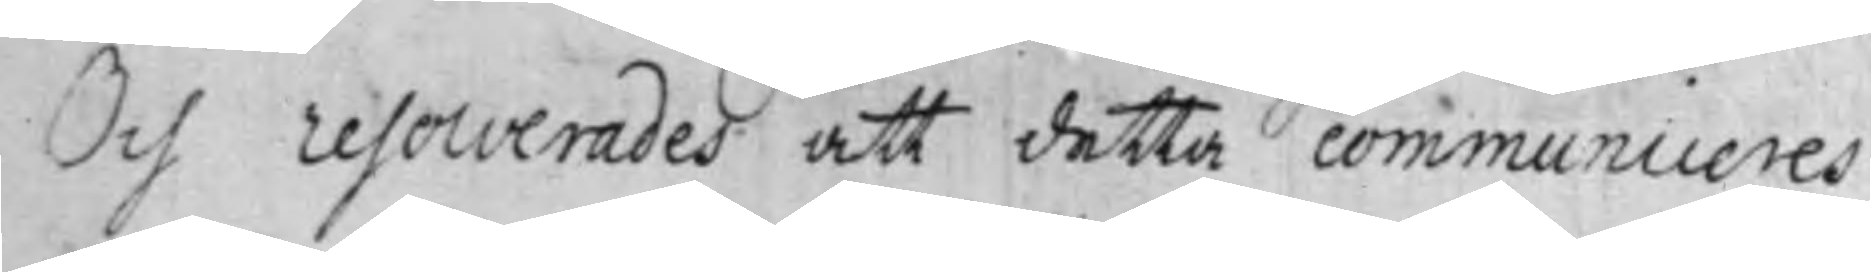Och resolverades att detta communiceres
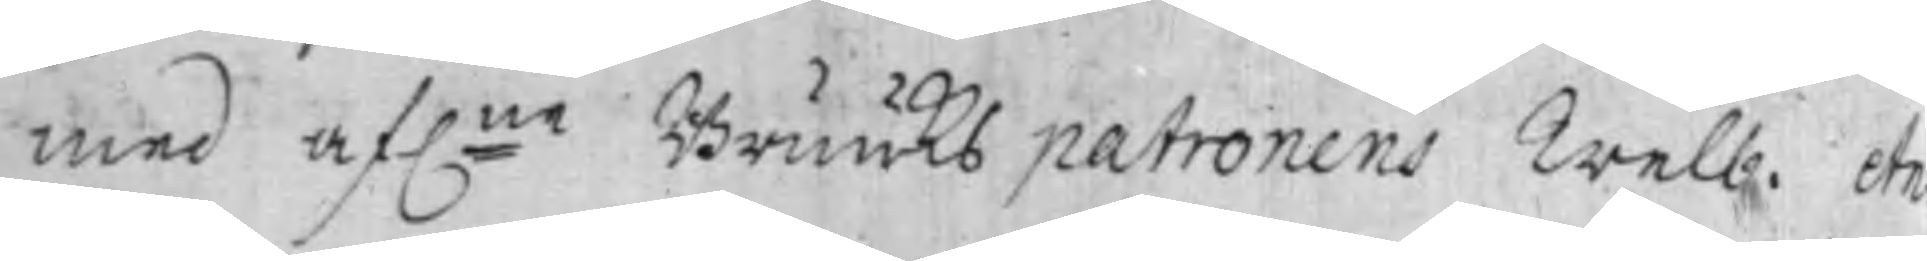med af:ne Bruuks patronens Welb. An¬
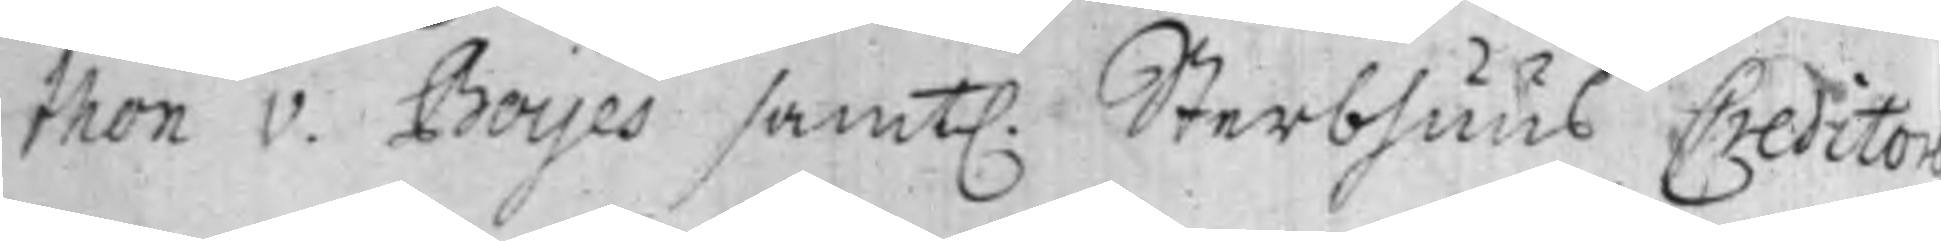thon v. Boijes samt. Sterbhuus Creditor
